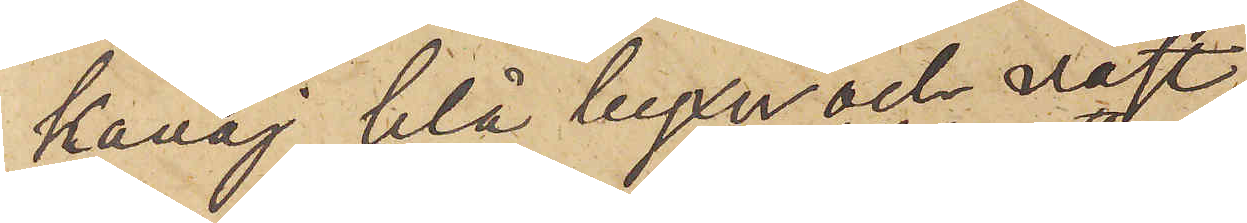kavaj, blå byxor och väst,
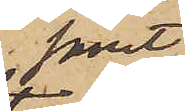samt
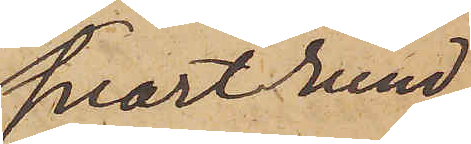svart rund
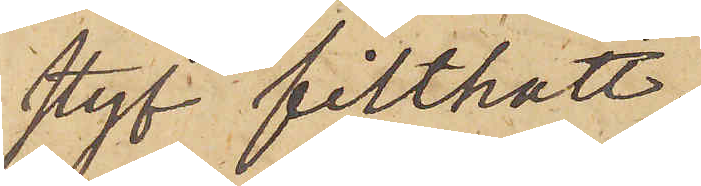styf filthatt,
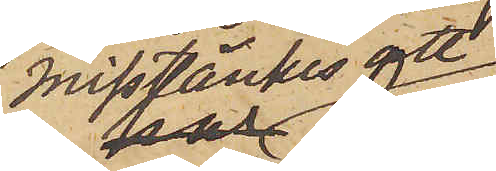misstänkes att
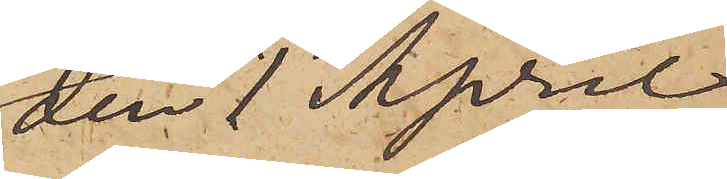den 1 April
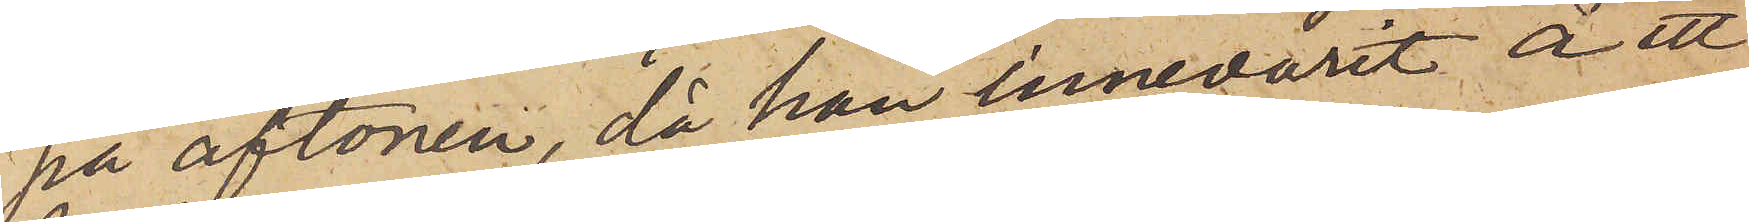på aftonen, då han innevarit å ett
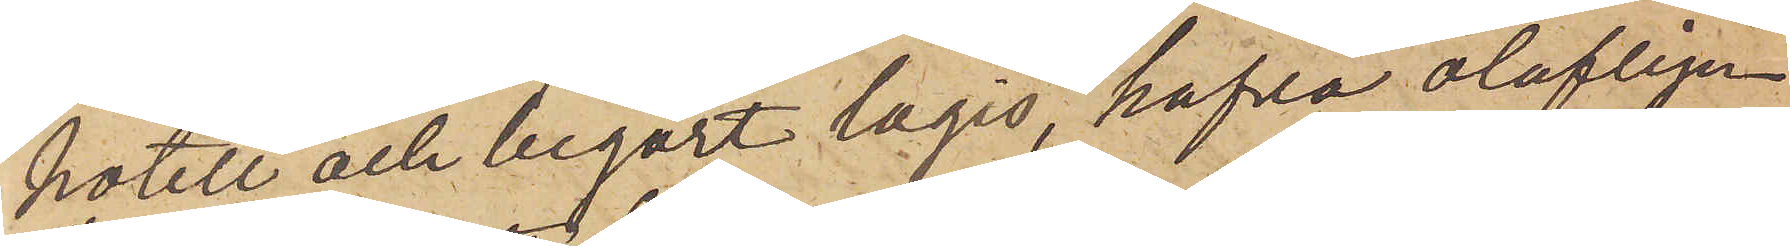hotell och begärt logis, hafva olofligen
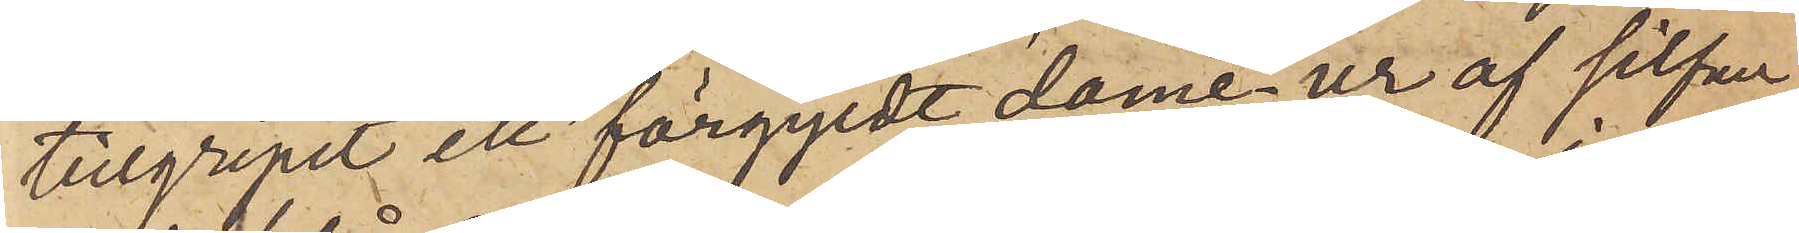tillgripit ett förgyldt dame-ur af silfver
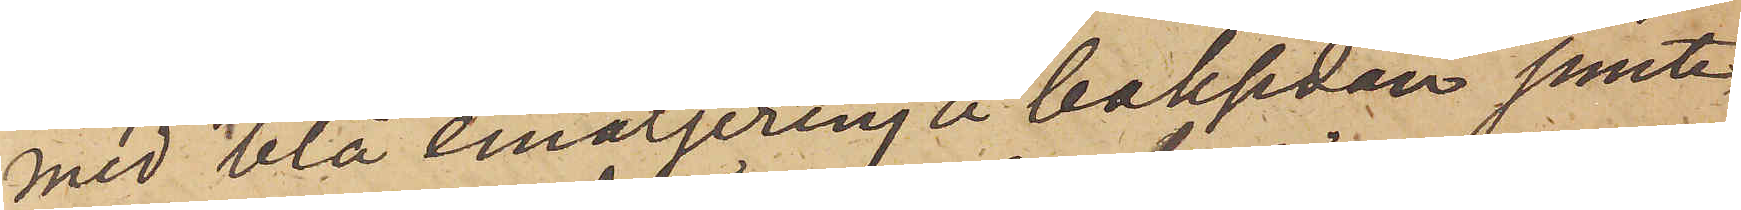med blå emaljering å baksidan jemte
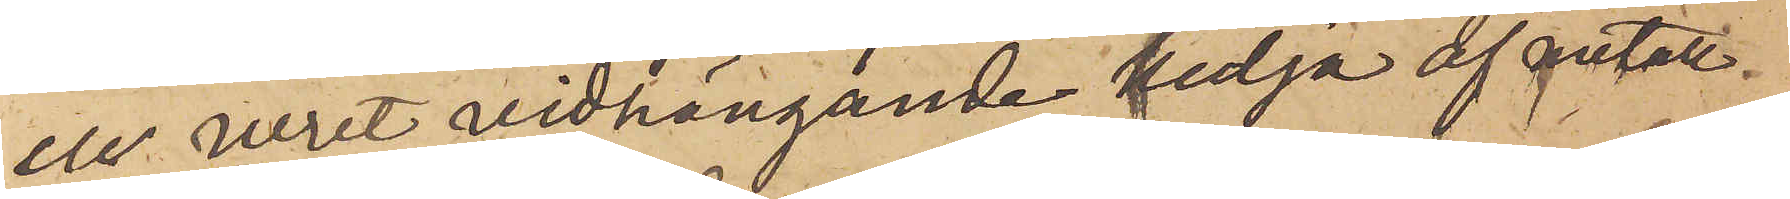en uret vidhängande kedja af metall.
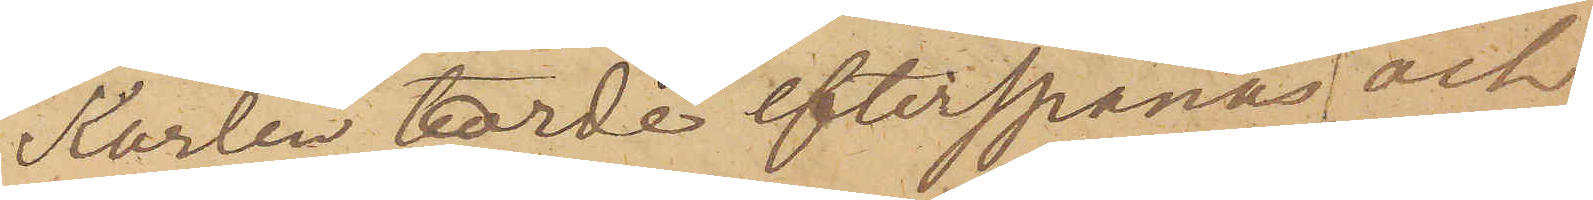Karlen torde efterspanas och,
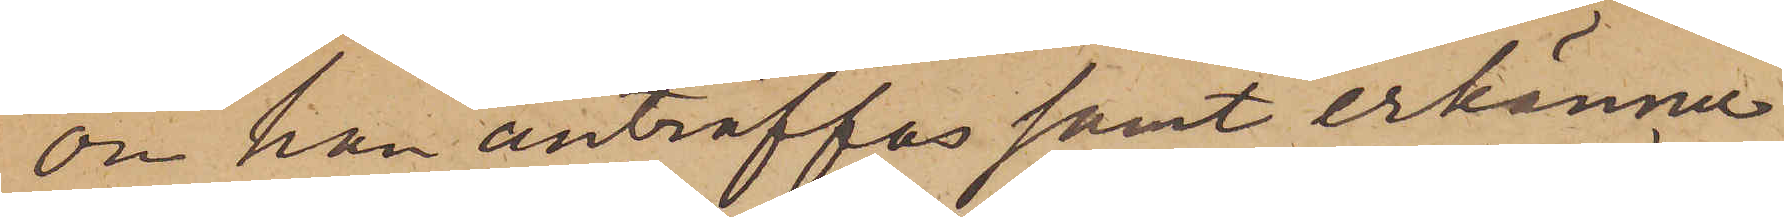om han anträffas samt erkänner
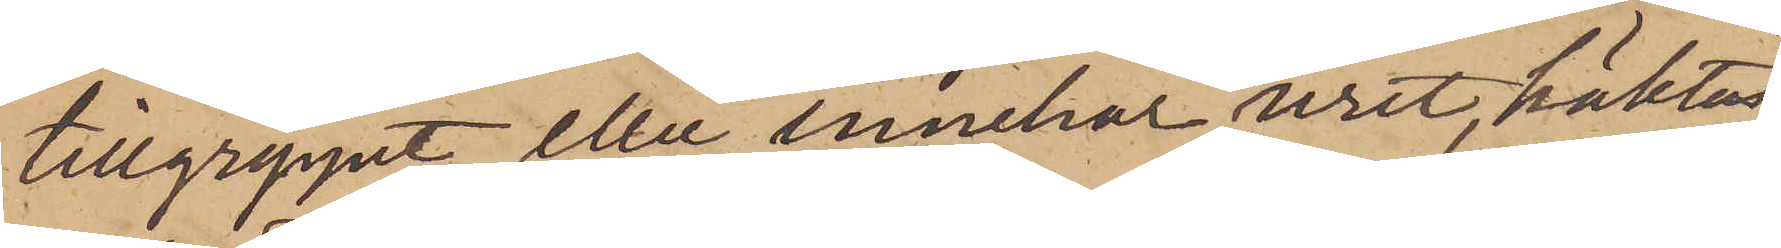tillgreppet eller innehar uret, häktas
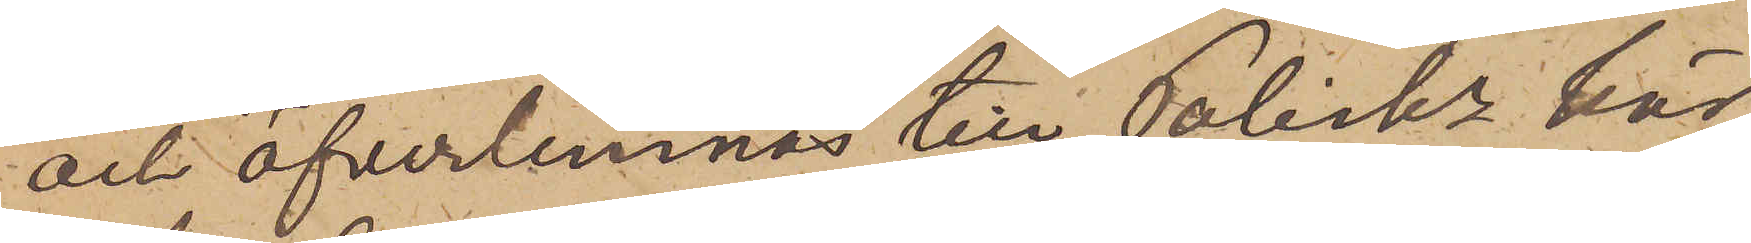och öfverlemnats till Poliskn här
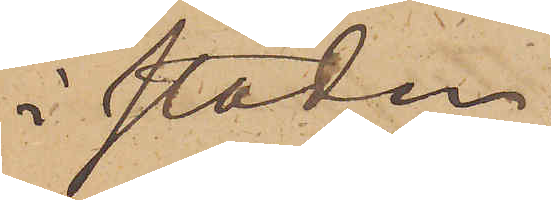i staden.
